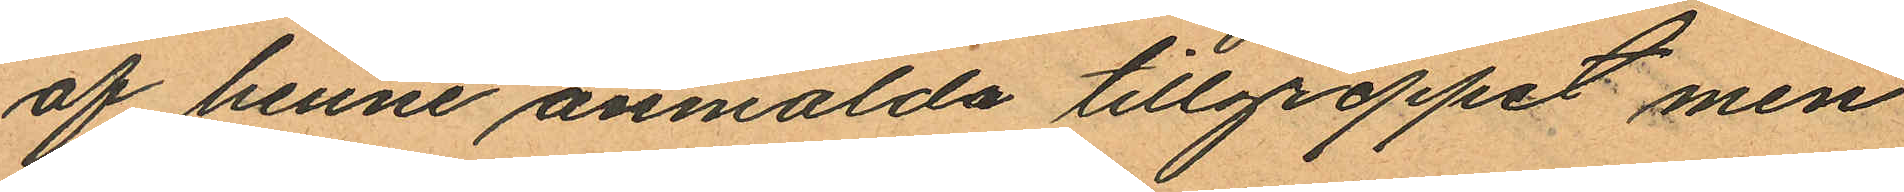af henne anmälda tillgreppet men
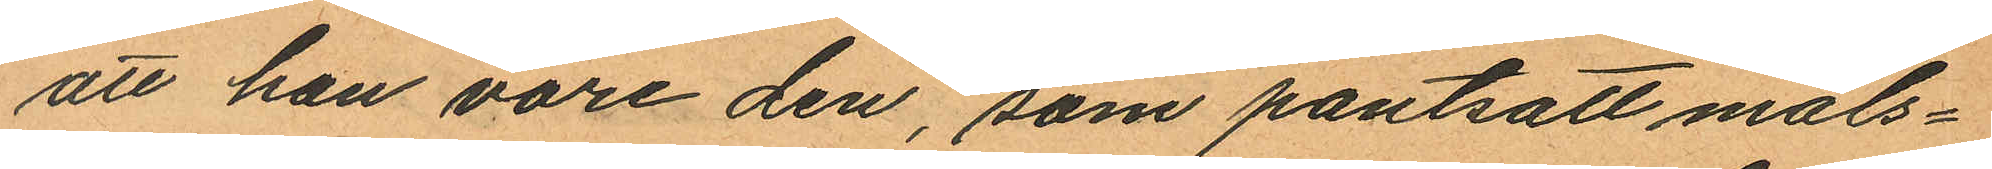att han vore den, som pantsatt måls¬
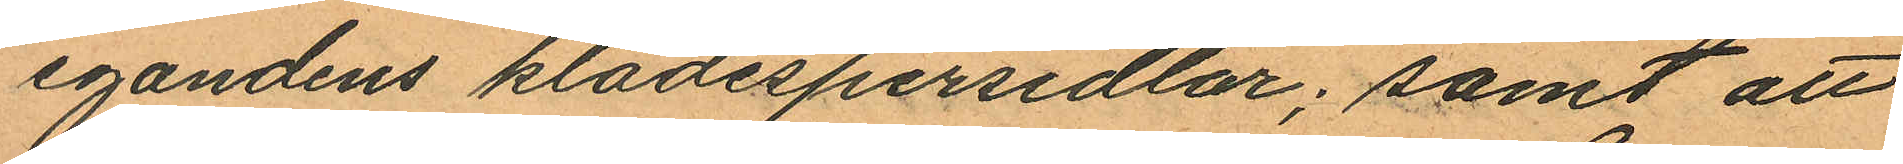egandens klädespersedlar; samt att
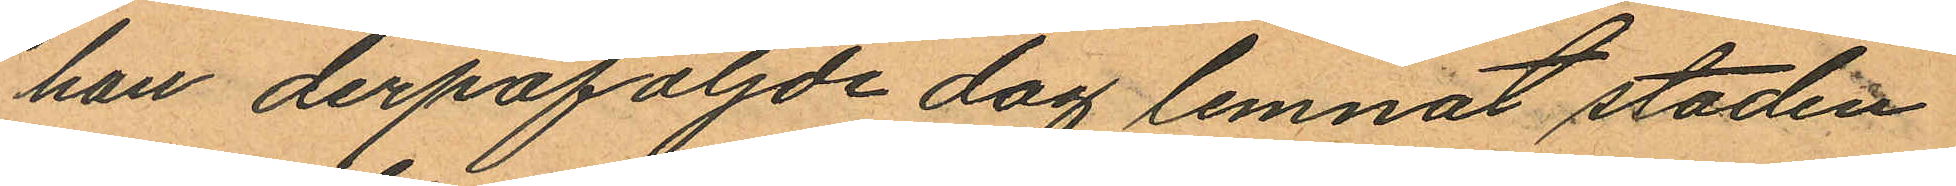han derpåföljde dag lemnat staden
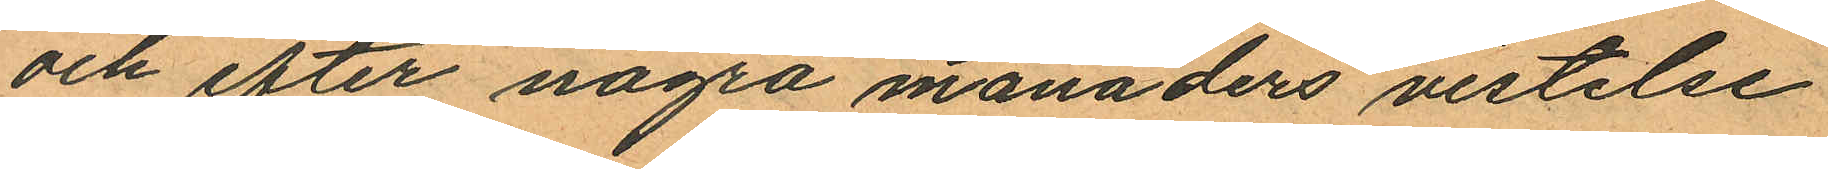och efter några månaders vistelse
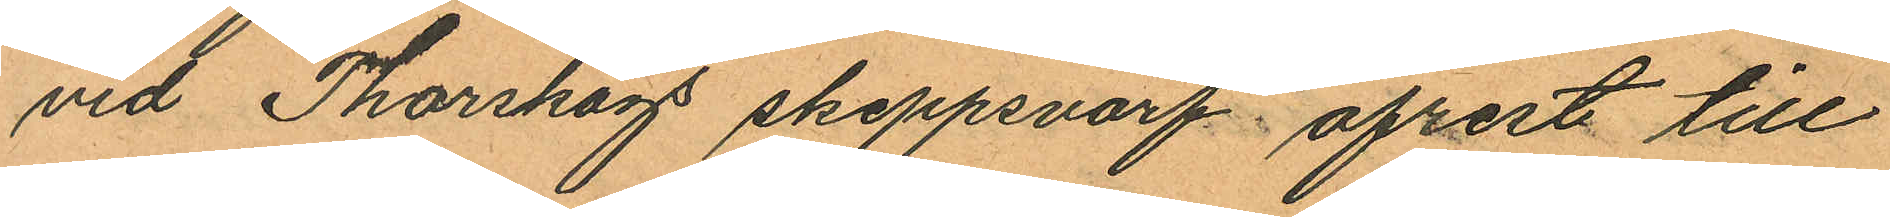vid Thorskogs skeppsvarf afrest till
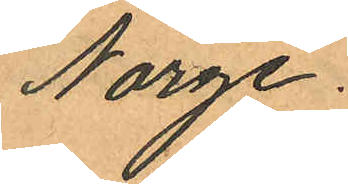Norge.
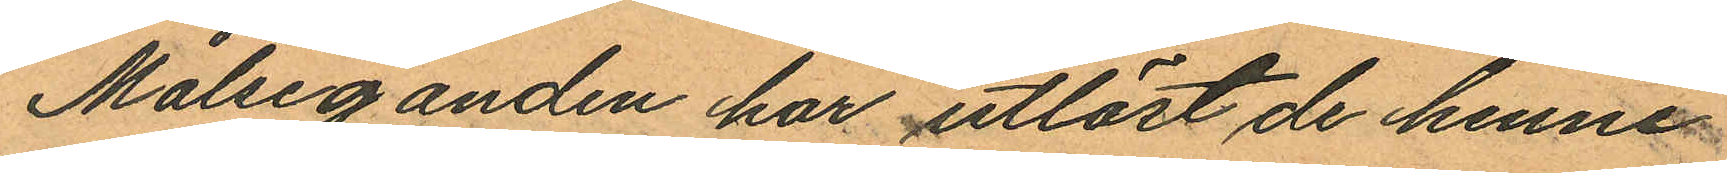Målseganden har utlöst de henne
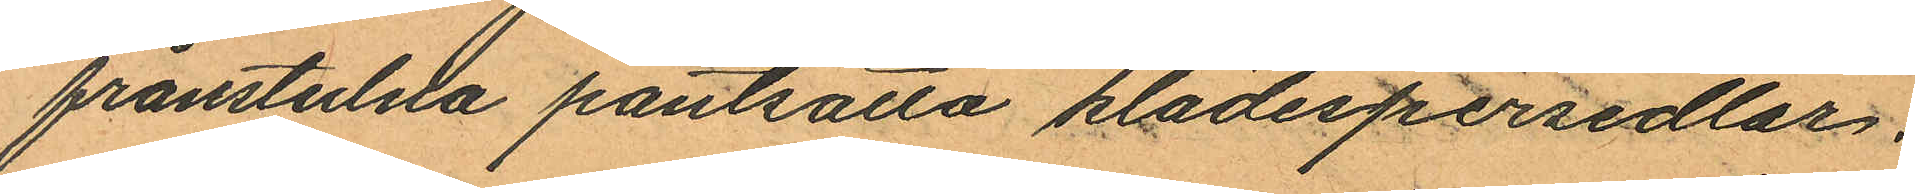frånstulnda pantsatta klädespersedlar.
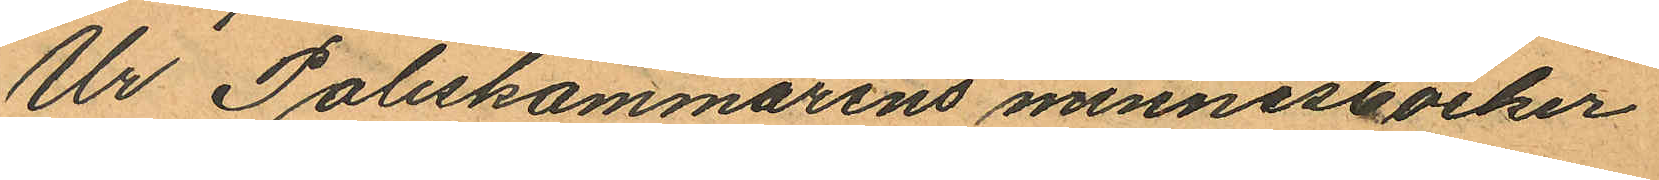Ur Poliskammarens minnesböcker
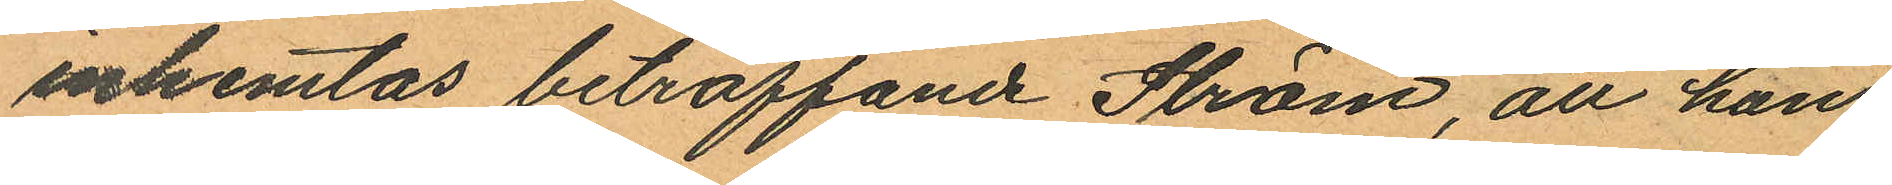inhemtas beträffande Ström, att han
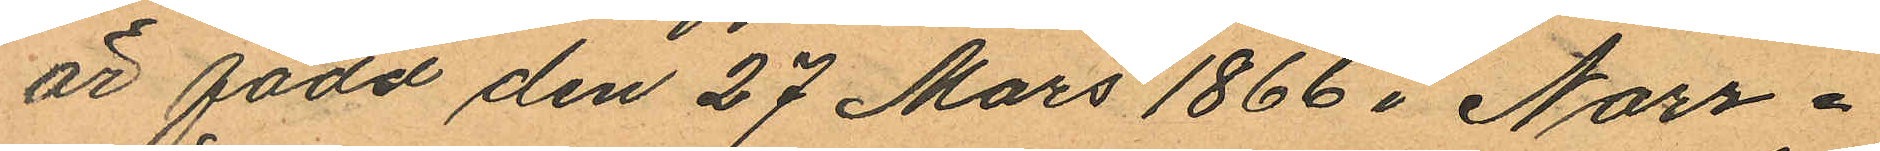är född den 27 Mars 1866 i Norr¬
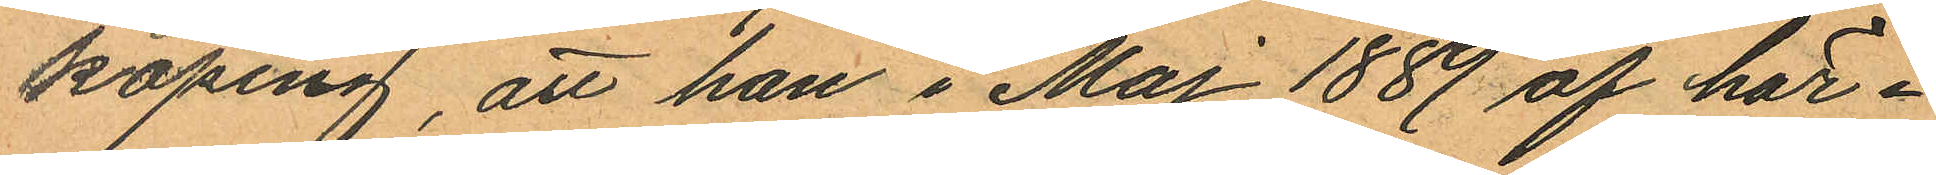köping, att han i Maj 1889 af här¬
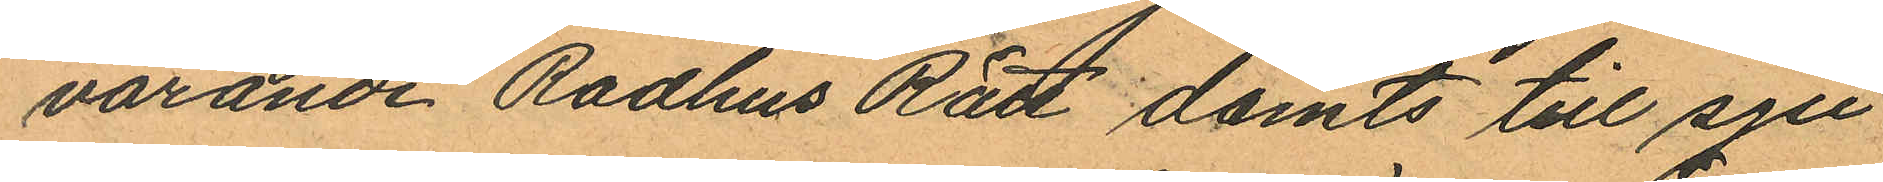varande Radhus Rätt dömts till sju
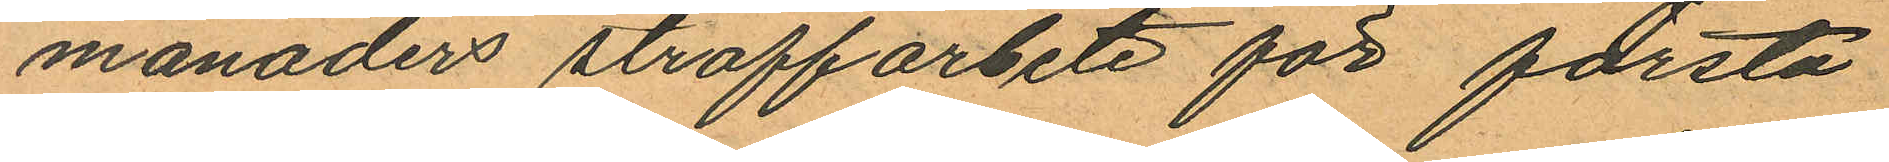månaders straffarbete för första
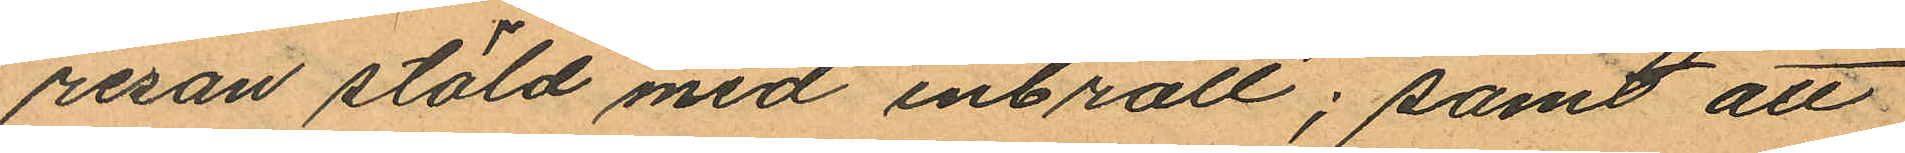resan stöld med inbrott; samt att
